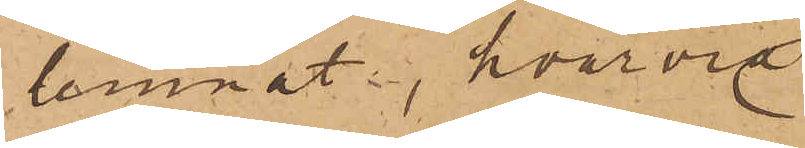lemnat, hvarvid
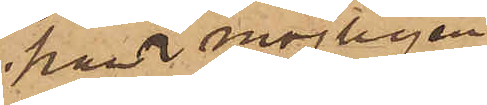han möjligen
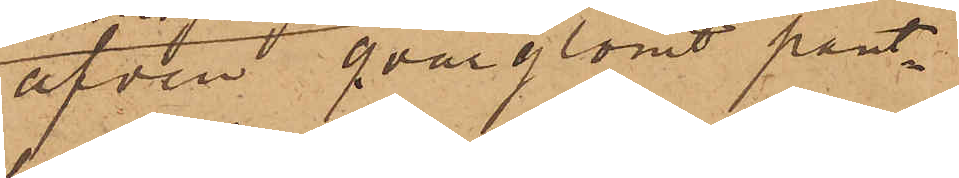äfven qvarglömt pant¬
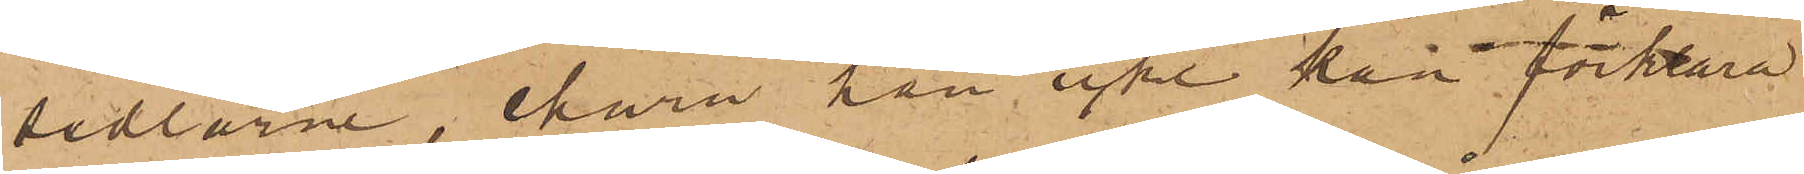sedlarne, ehuru han icke kan förklara
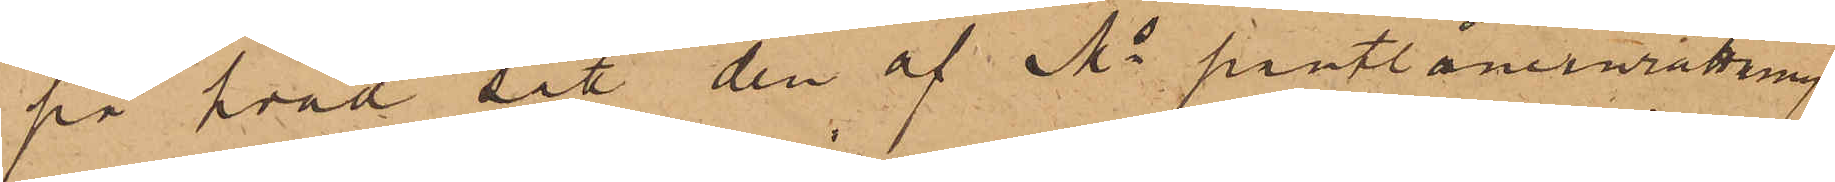på hvad sätt den af Ms pantlåneinrättning
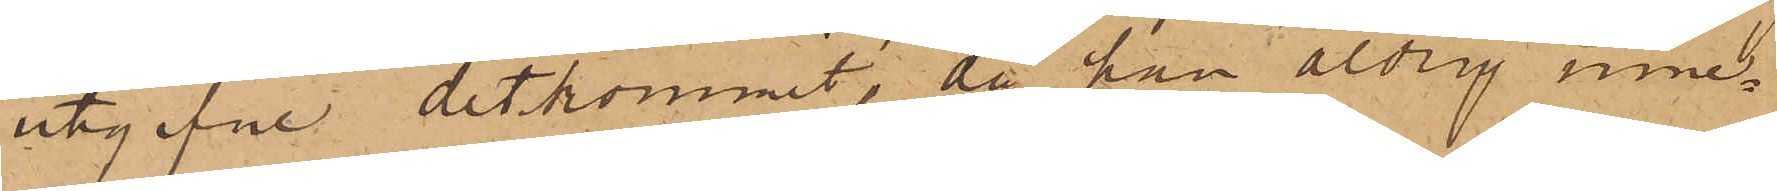utgifne ditkommit, då han aldrig inne¬
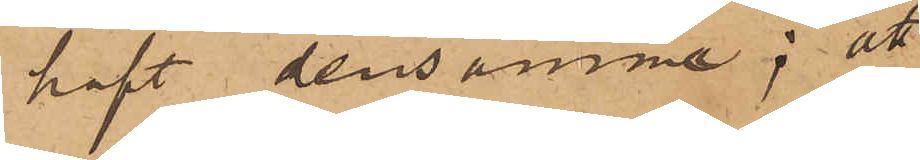haft densamma; att
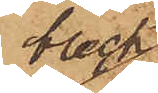bleck¬
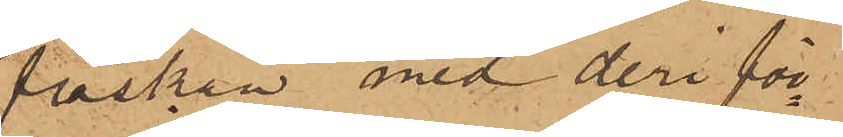flaskan med deri för¬
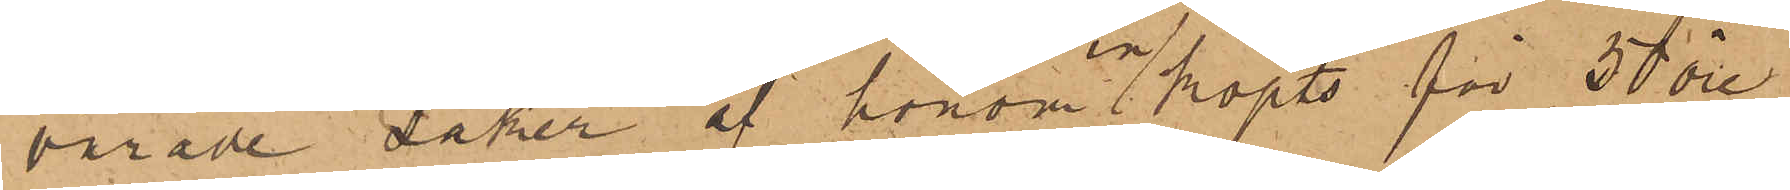varade saker af honom inköpts för 50 öre
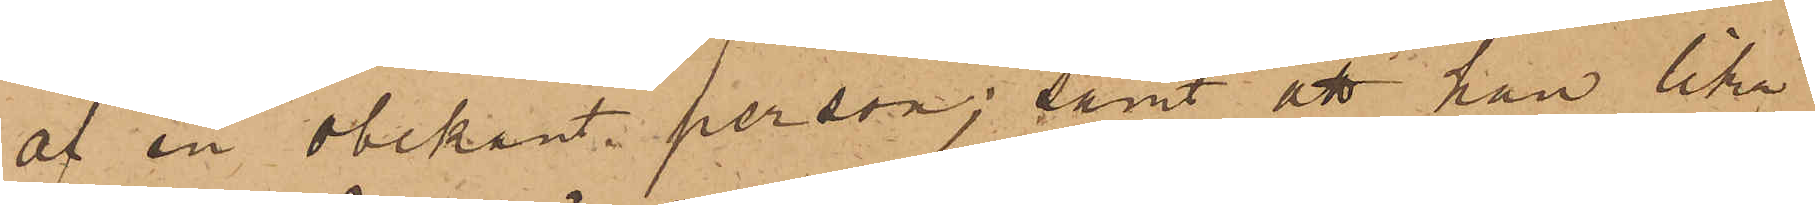af en obekant person; samt att han lika¬
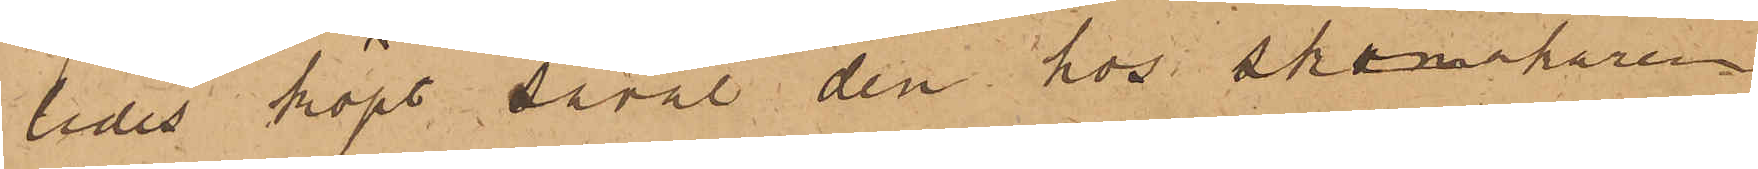ledes köpt såväl den hos Skomakaren
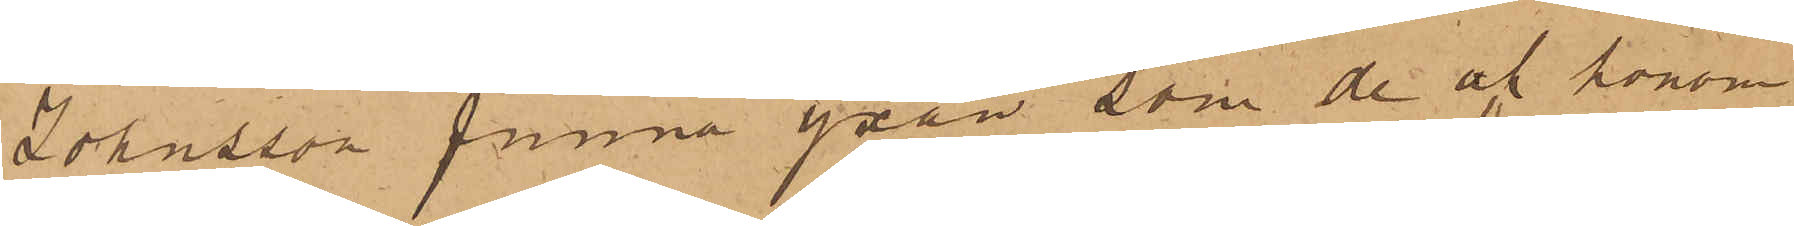Johnsson funna yxan som de af honom
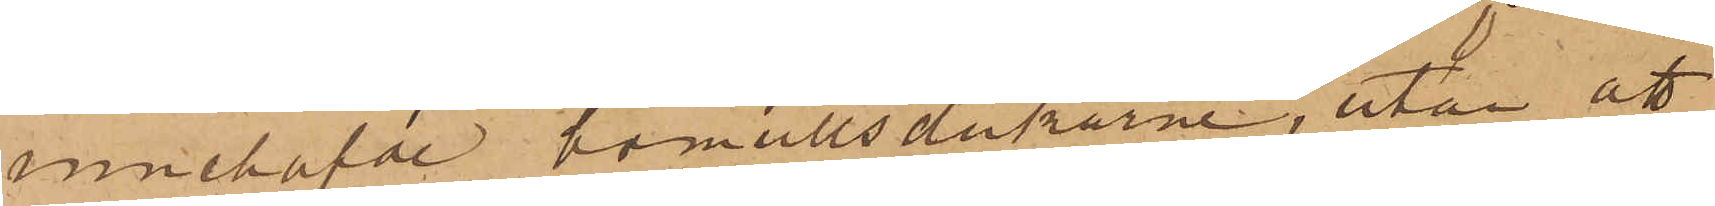innehafde bomullsdukarne, utan att
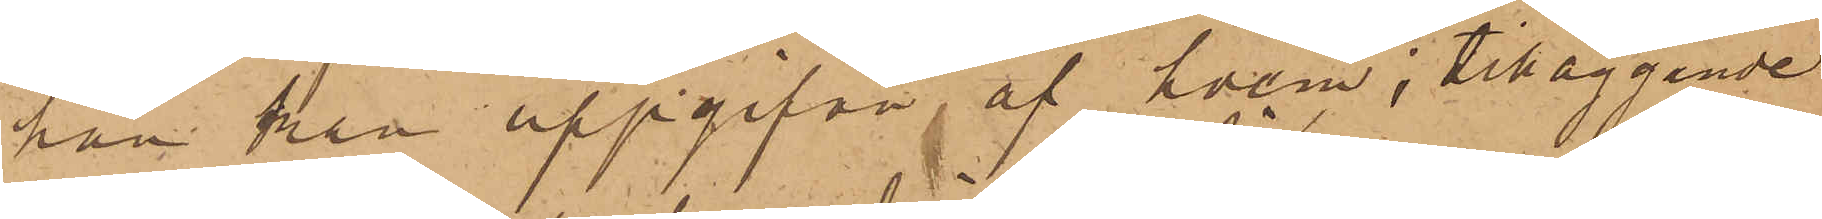han kan uppgifva af hvem, tilläggande
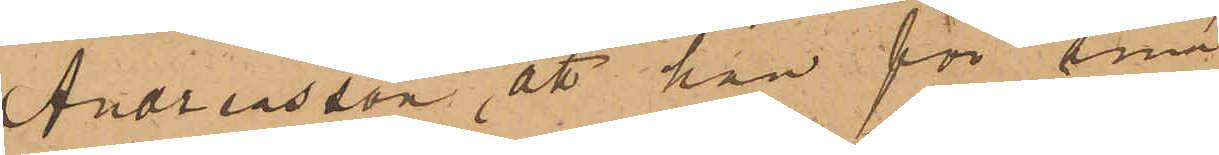Andreasson att han för sina
